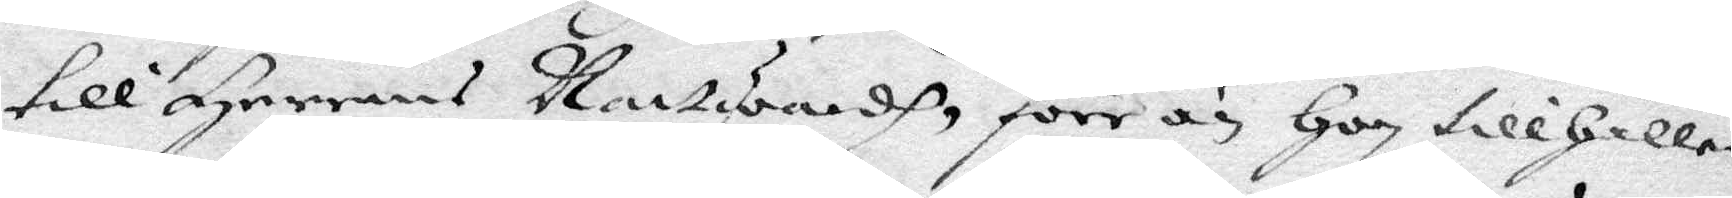till Herrens Nattwardh,förr än hon tillhåller
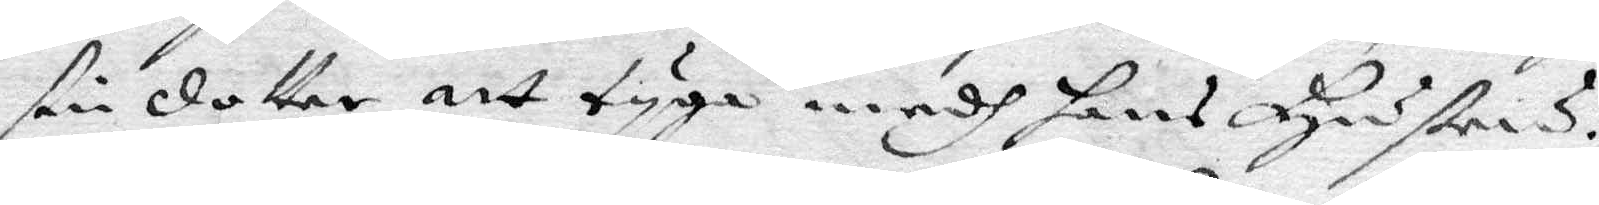sin dotter att tyga medh hans hustrus.
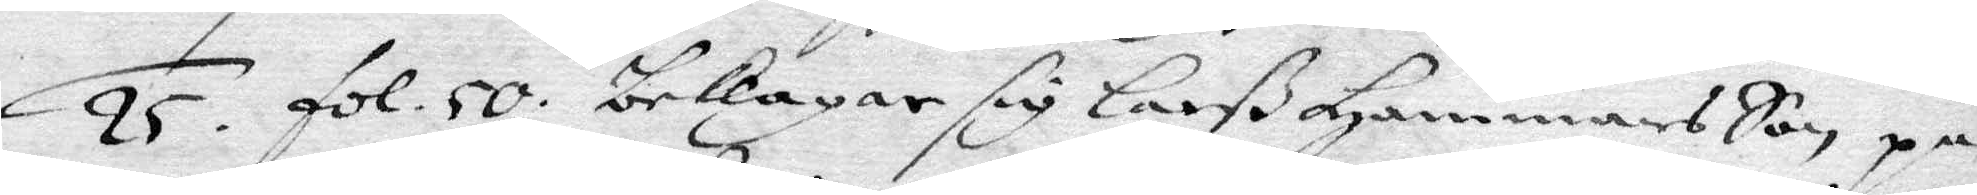25. fol. 50. beklagar sig Larß Hammars Son på
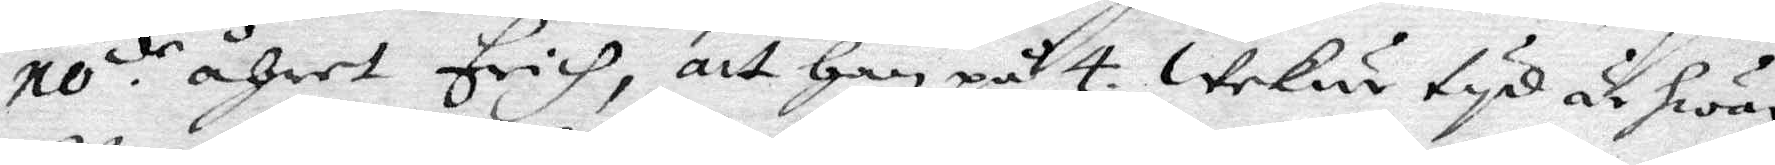10.de åhret erich, att han på 4. wekur tyd och hwar
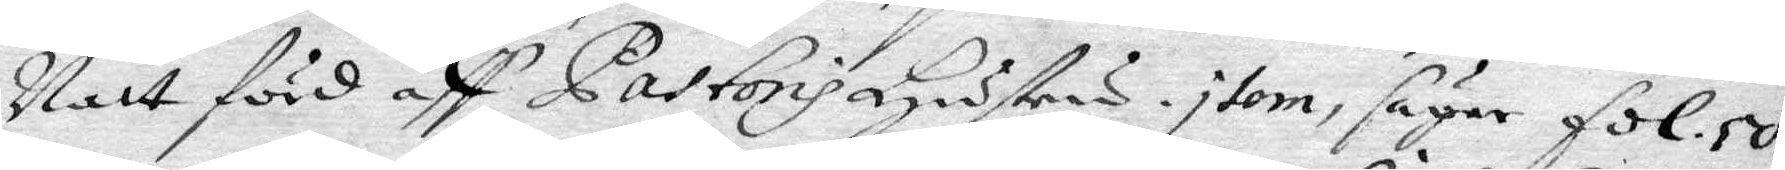Natt förd aff Pastoris hustru item, säger fol. 50.
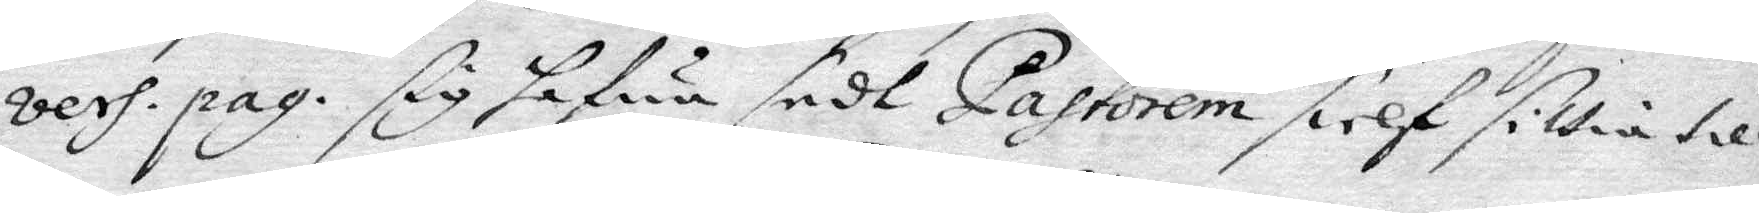vers.pag. sig hafwa sedt Pastorem sielf sitta till
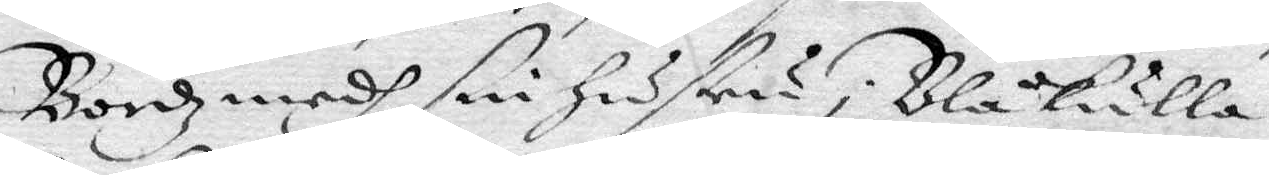Bordz medh sin hustru i Blåkulla.
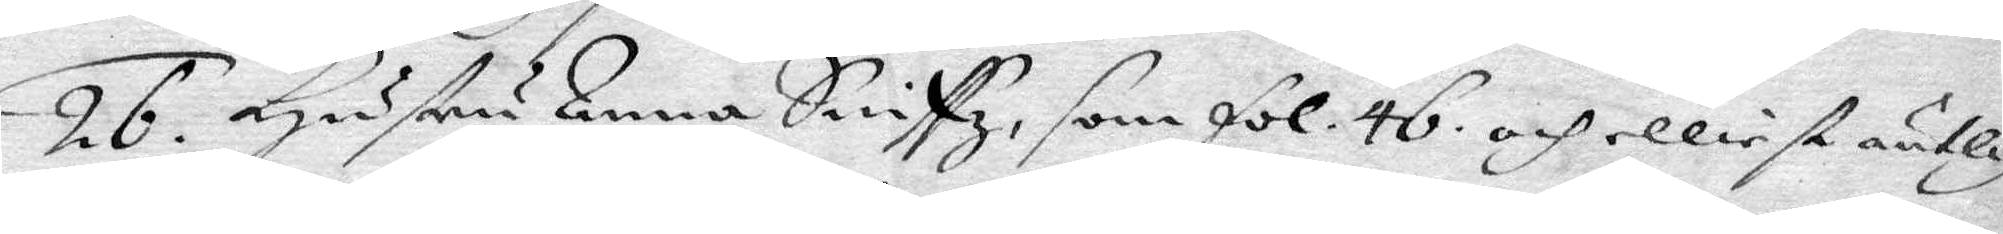26. hustru Anna Sniffs, som fol. 46. och elliest äntlig
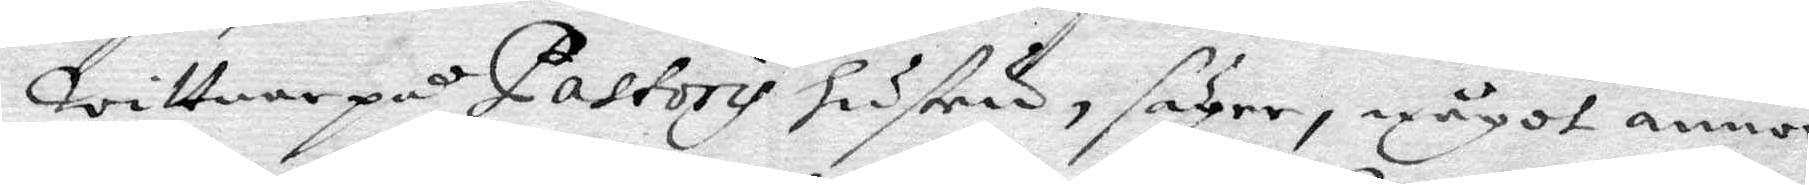wittnar på Pastoris hustru, säger något annor¬
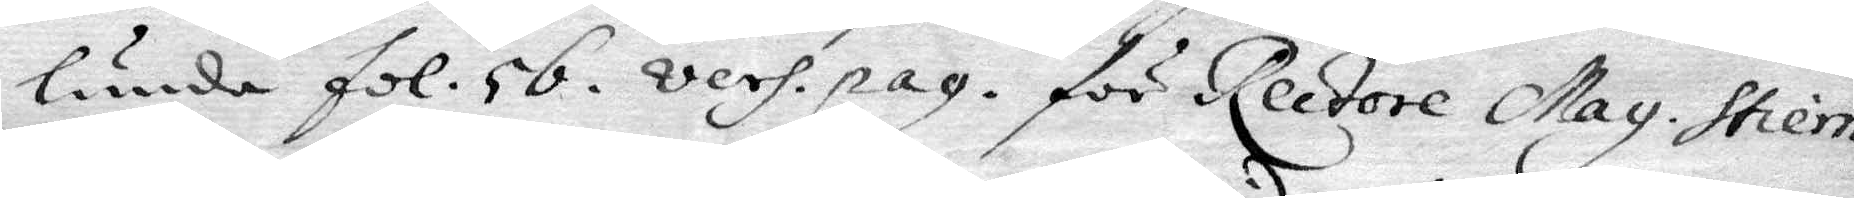lunda fol. 56. vers.pag. för Rectore Mag. Stiern¬
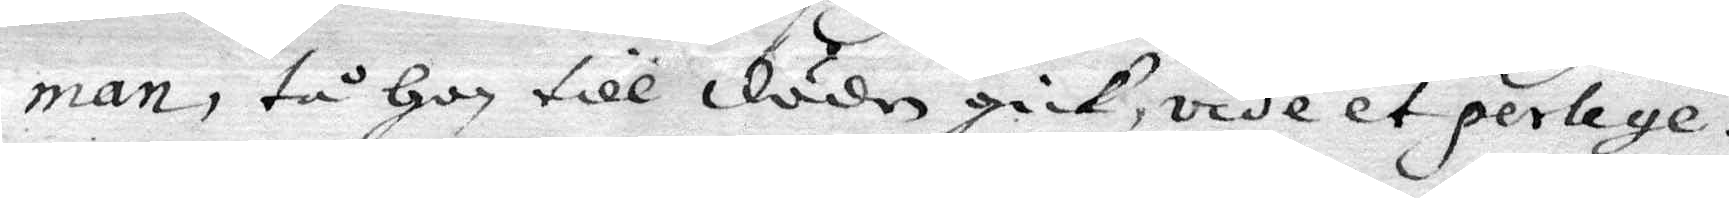man,tå han till döden gick, vide et perlege.
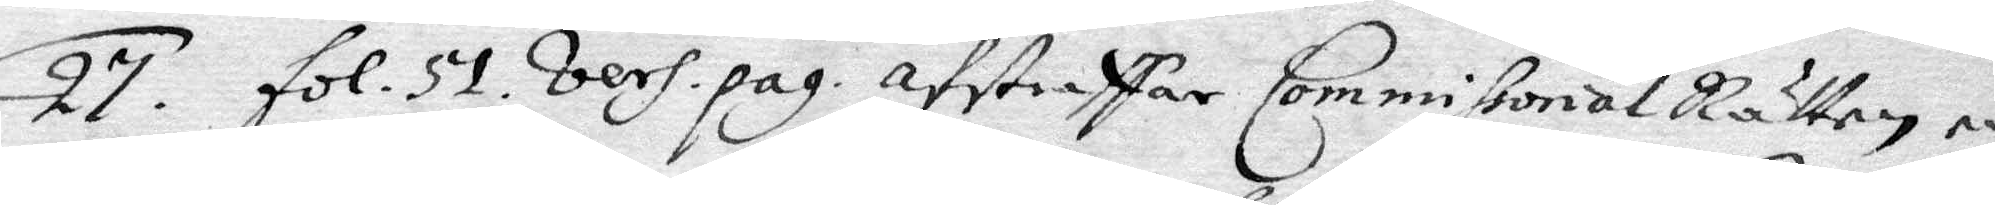27. fol. 51. vers.pag. afstraffar Commissorial Rätten en
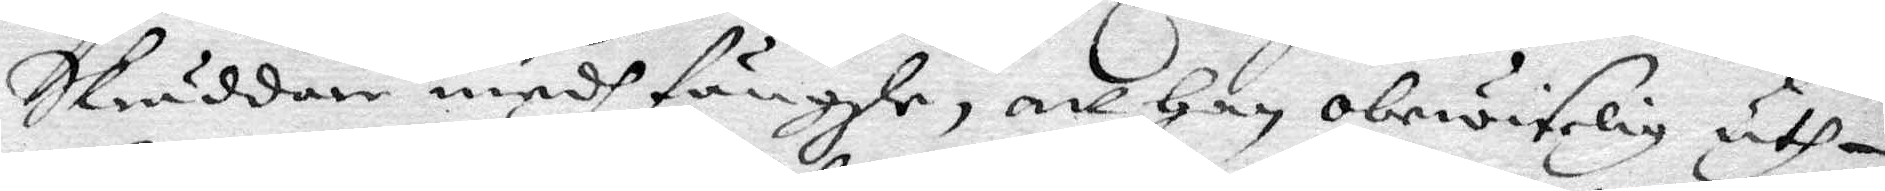Skräddare medh fängzle, att han obewiselig uth¬
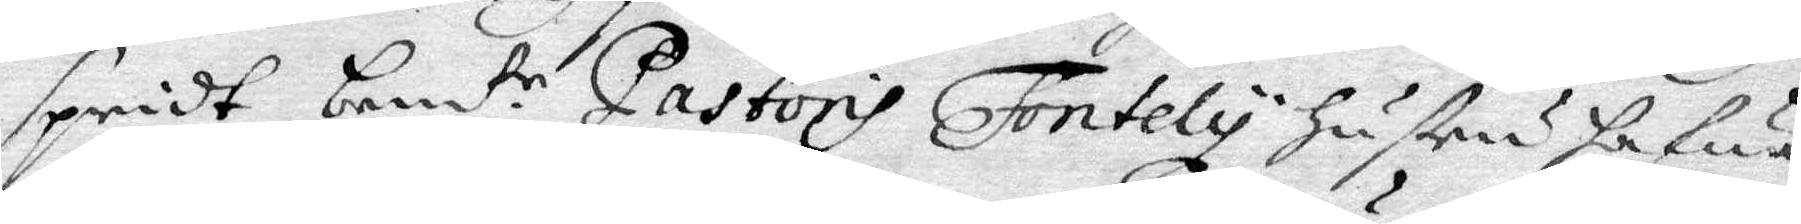spridt bemt.e Pastoris Fontely hustru hafwa
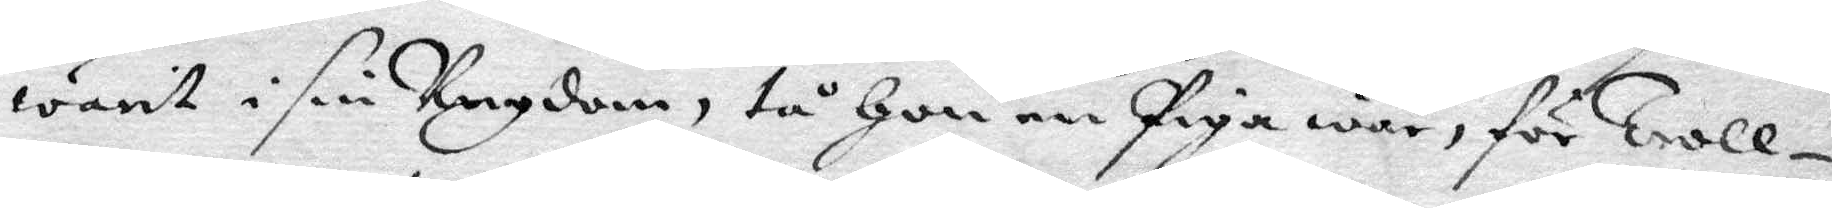warit i sin Ungdom, tå hon en piga var, för Troll¬
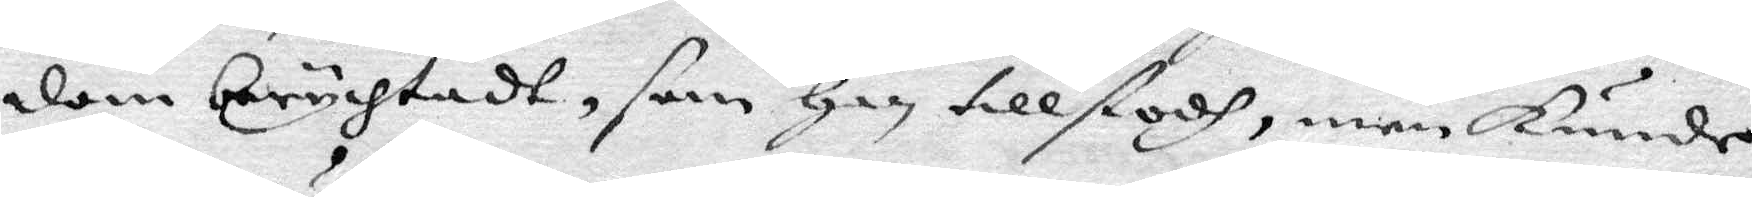dom berychtadt, som han tillstodh, men kunde
